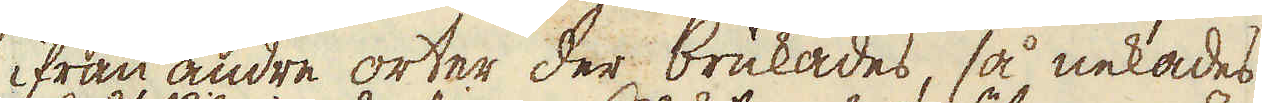ifrån andre orter der brukades, så nekades
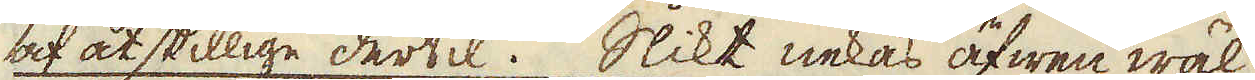af åtskillige dertil. Slikt nekas äfwen wäl
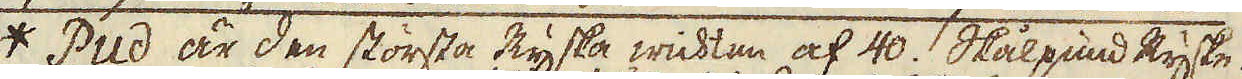* Pud är den största Ryska wickten af 40 skålpund Ryske
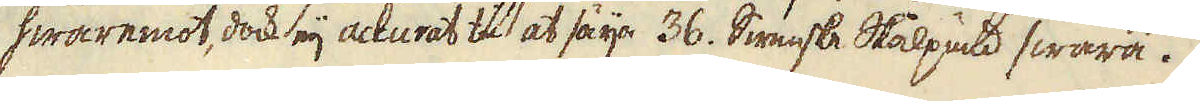hwaremot, dock eij accurat til at säija 36. Swenske Skålpund swara.
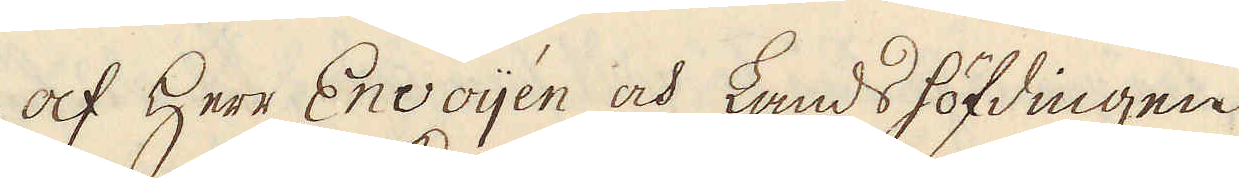af Herr Envoijén och Landshöfdingen
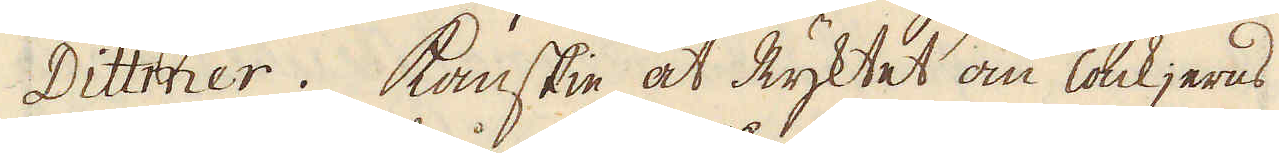Dittmer. Kanskie at Ryktet om Tackjerns
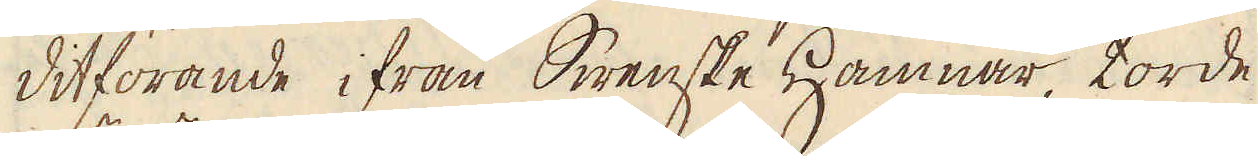ditförande ifrån Swenske Hamnar torde
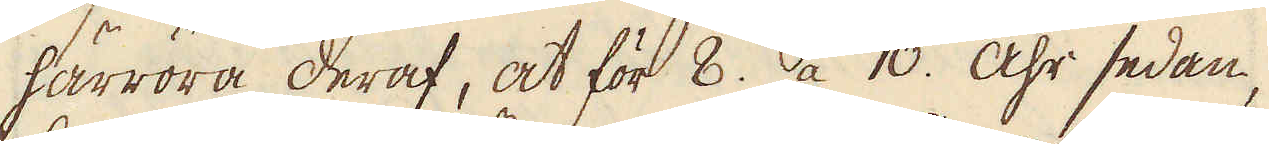härröra deraf, at för 8. a 10. åhr sedan,
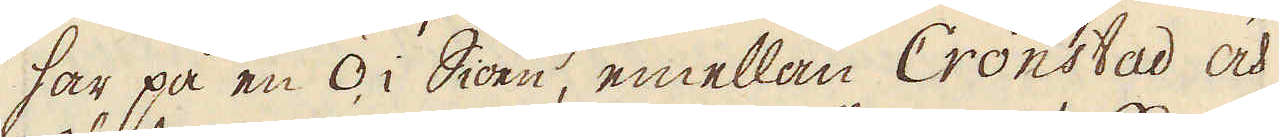har på en ö i Siöen, emellan Cronstad och
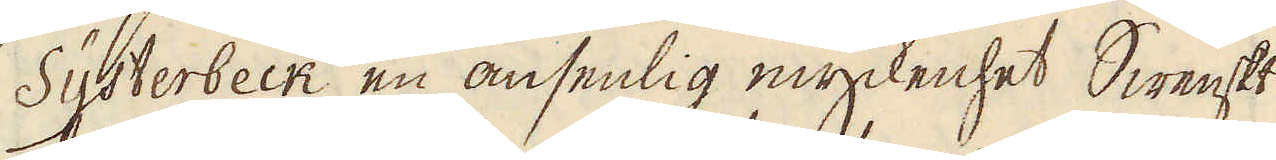Systerbeck en ansenlig myckenhet Swenskt
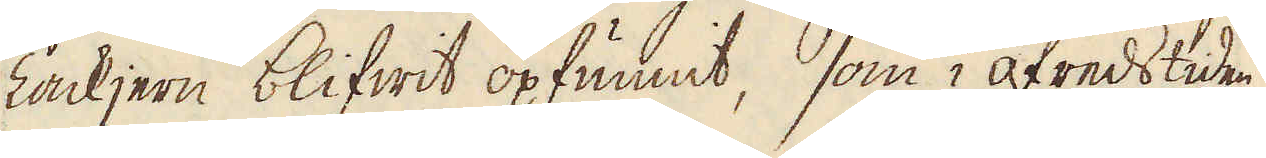Tackjern blifwit opfunnit, som i ofreds tiden
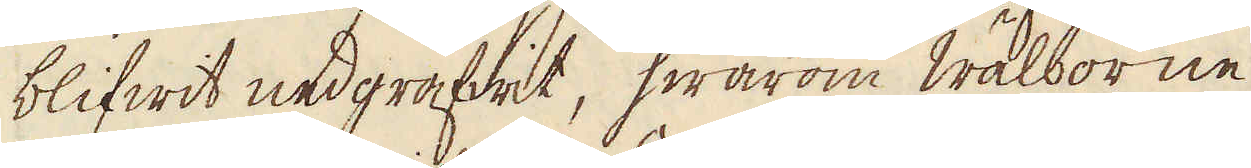blifwit nedgräfwit, hwarom Wälborne
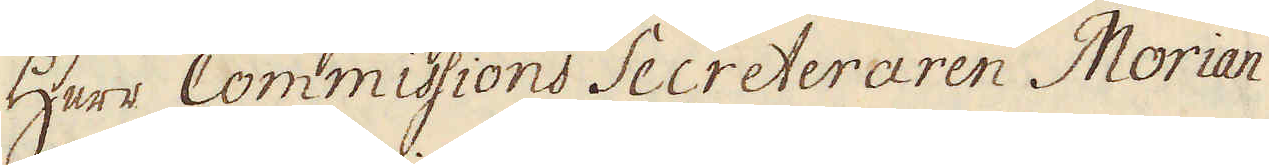Herr Commissions Secreteraren Morian
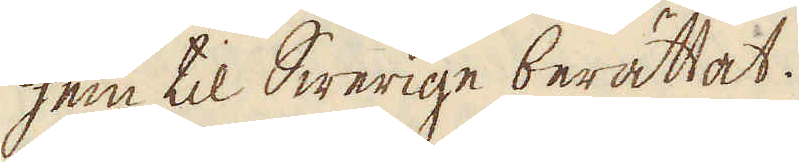hem til Swerige berättat.
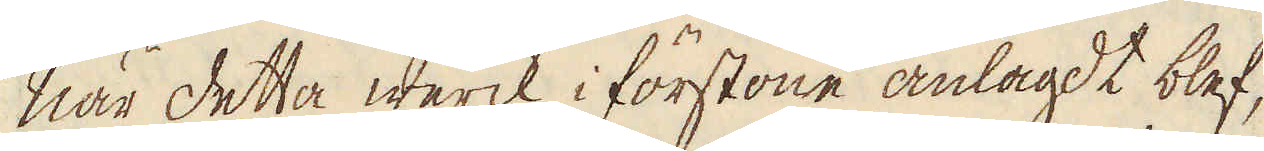När detta werck i förstone anlagdt blef,
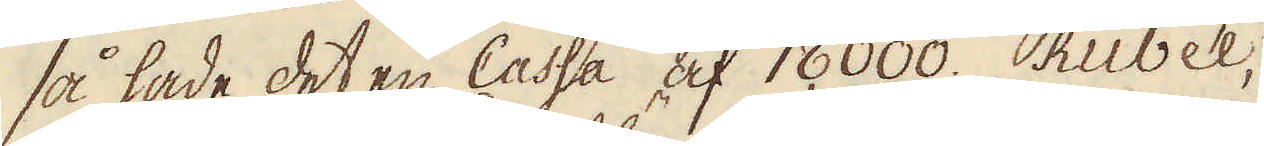så hade det en Cassa af 18,000. Rubel,
